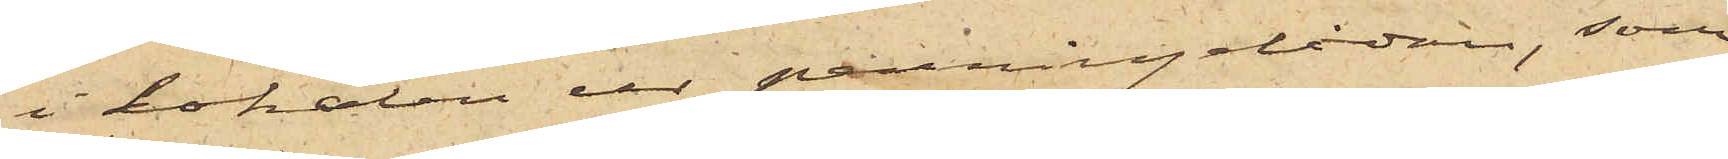i lokalen ur penningelådan, som
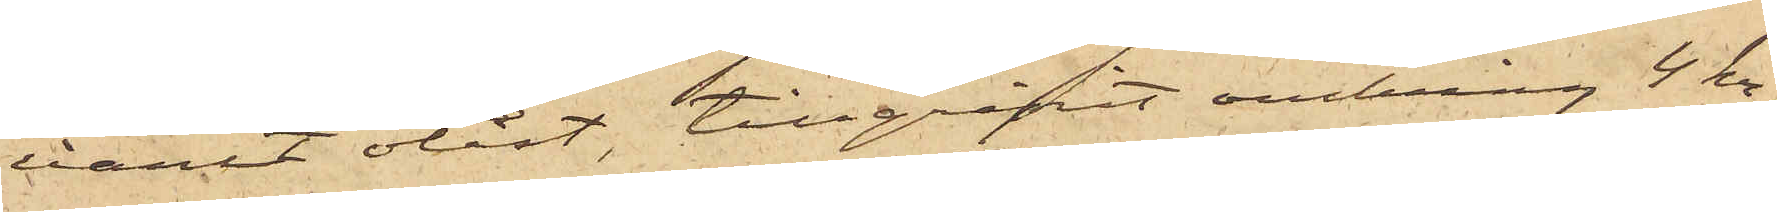varit olåst, tillgripit omkring 4 kr
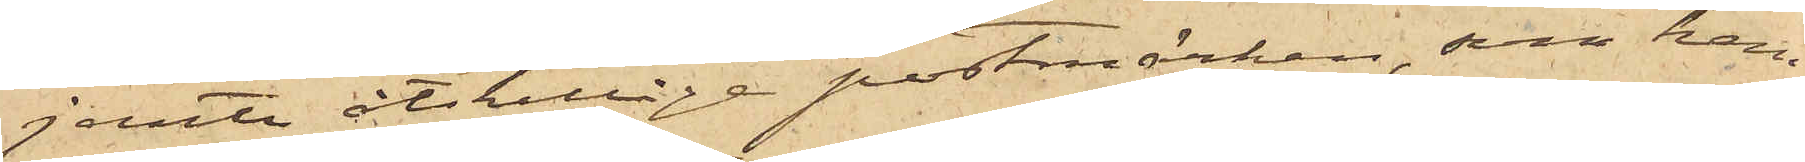jemte åtskillige postmärken, som han
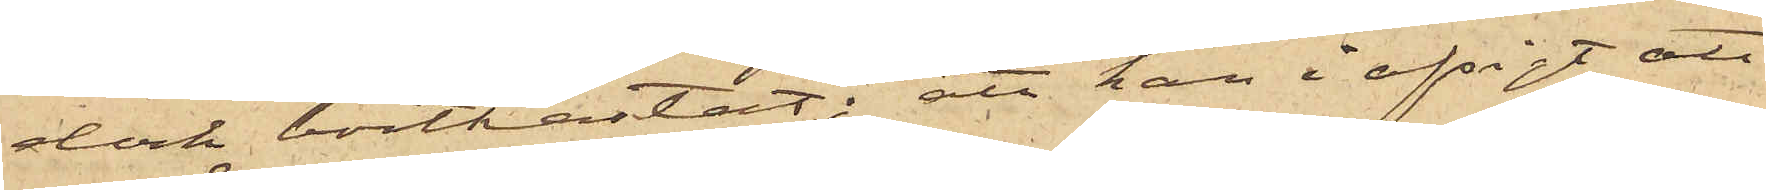dock bortkastat; att han i afsigt att
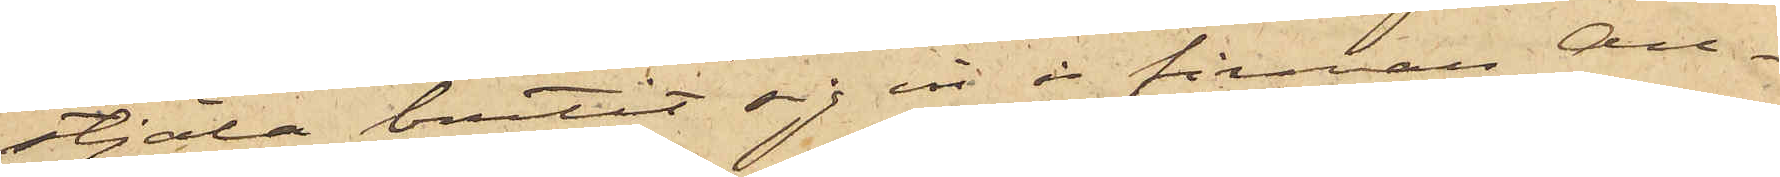stjäla brutit sig in i firman An¬
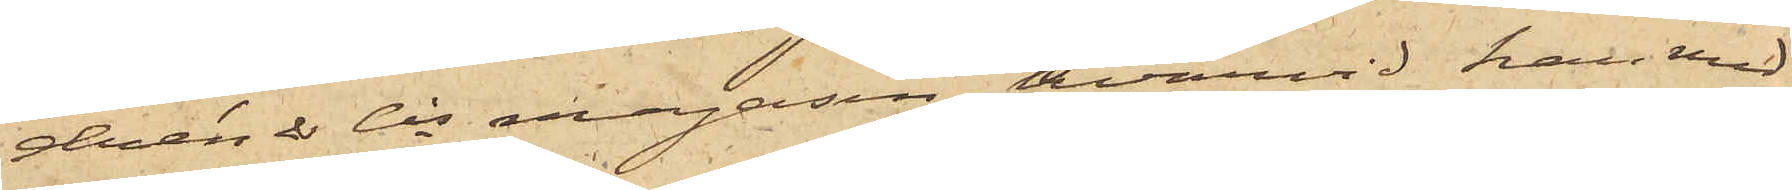drén & Cos magasin, hvarvid han med
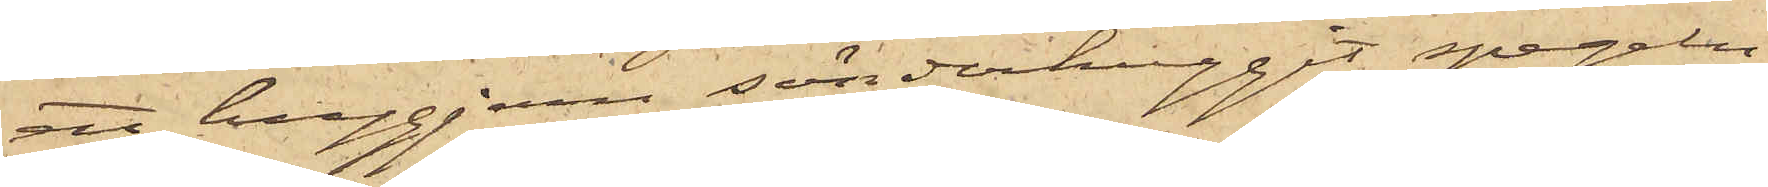ett huggjern sönderhuggit spegeln
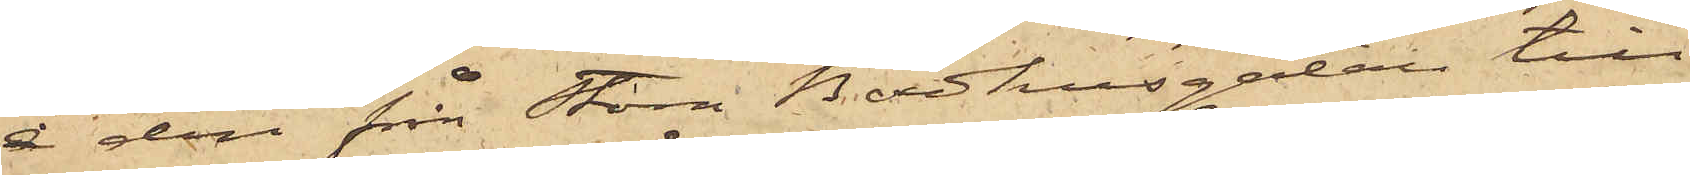i den från Stora Badhusgatan till
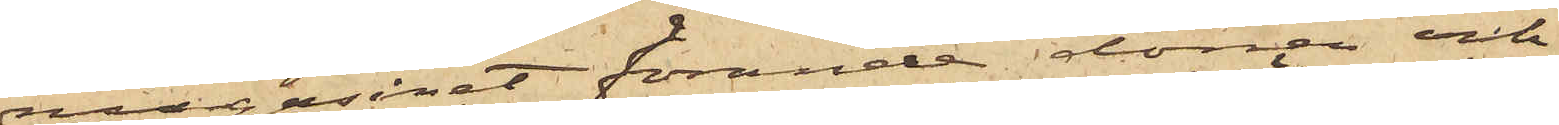magasinet förande dörren och
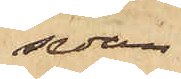sedan
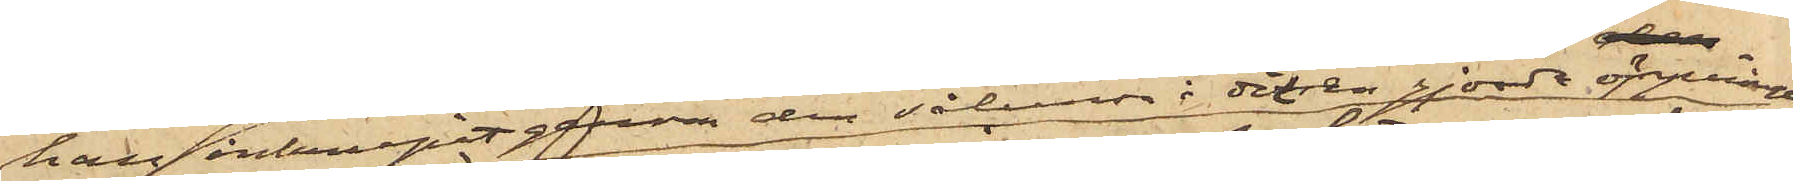han inkrupit genom den sålunda i dörren gjorda öppningen
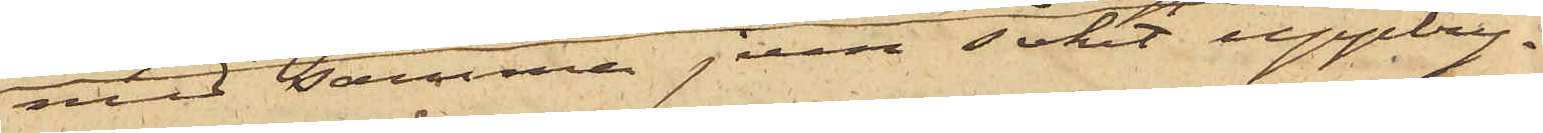med samma jern sökt uppbry¬
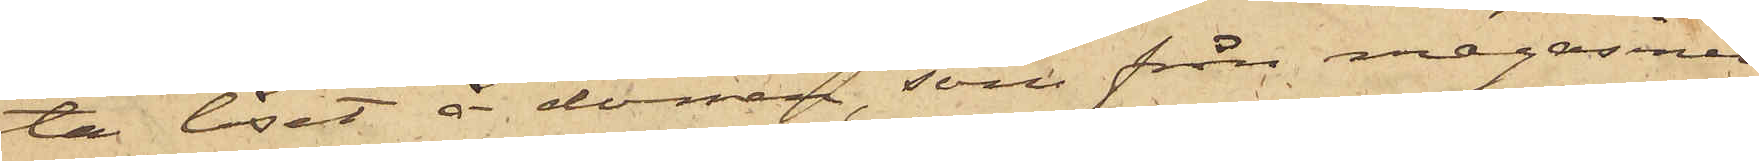ta låset å dörren, som från magasinet
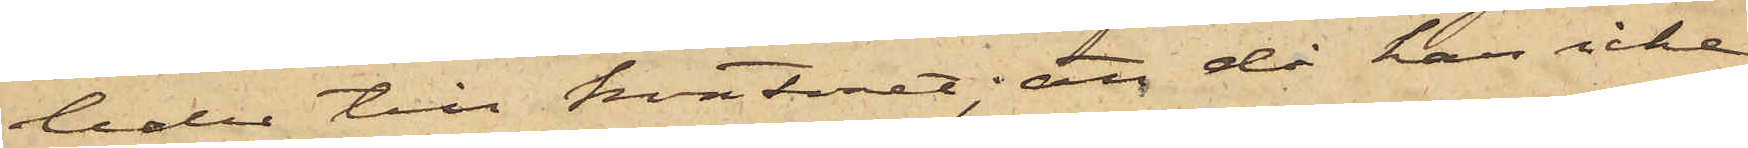leder till kontoret; att då han icke
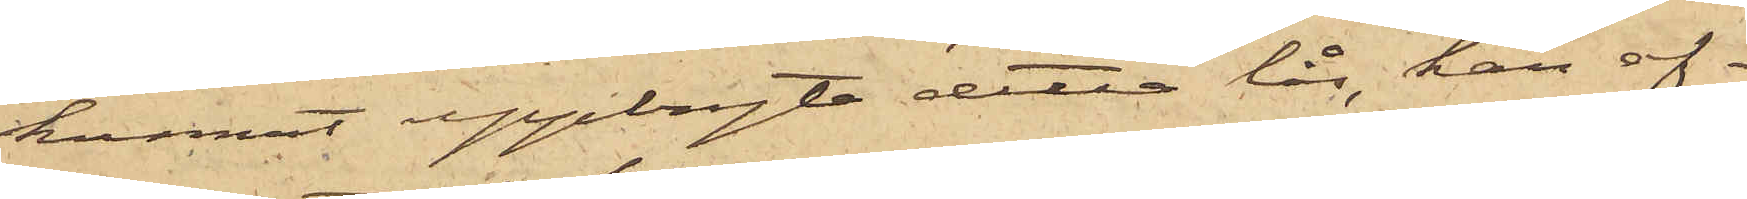kunnat uppbryta detta lås, han af¬
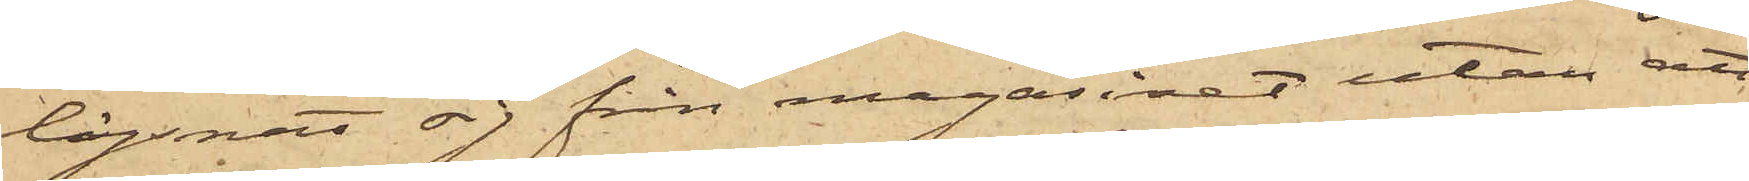lägsnat sig från magasinet utan att
